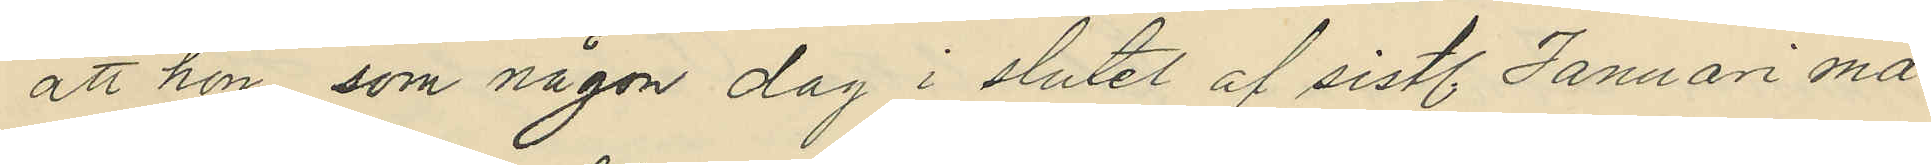att hon, som någon dag i slutet af sistl. Januari må¬
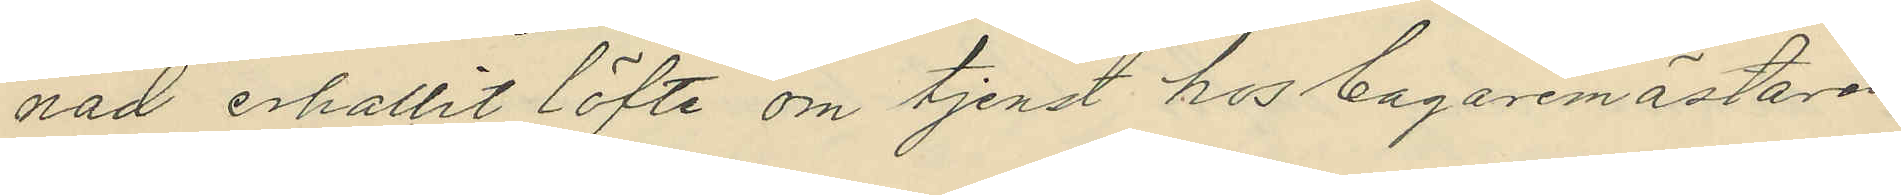nad erhållit löfte om tjenst hos bagaremästaren
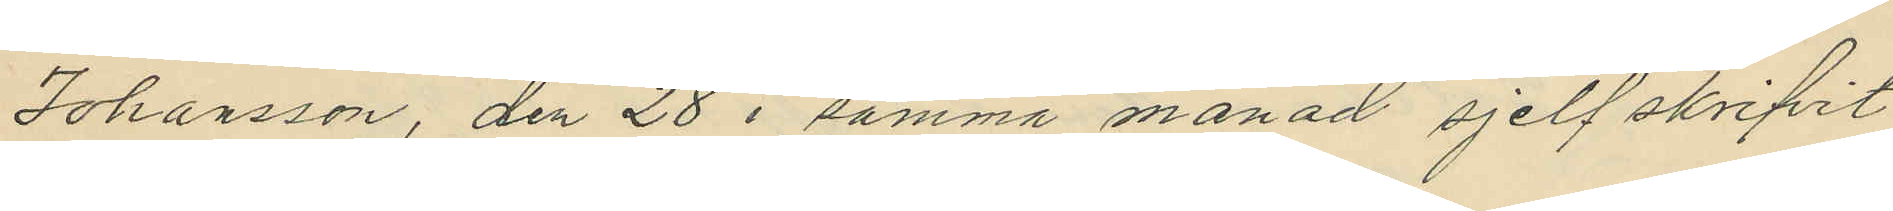Johansson, den 28 i samma månad sjelf skrifvit
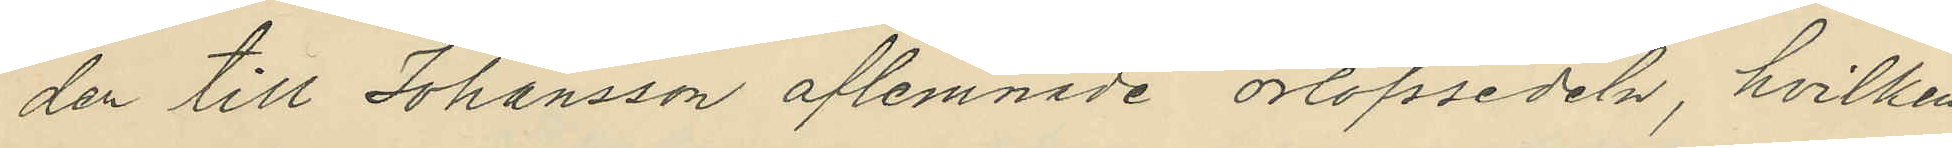den till Johansson aflemnade orlofssedeln, hvilken,
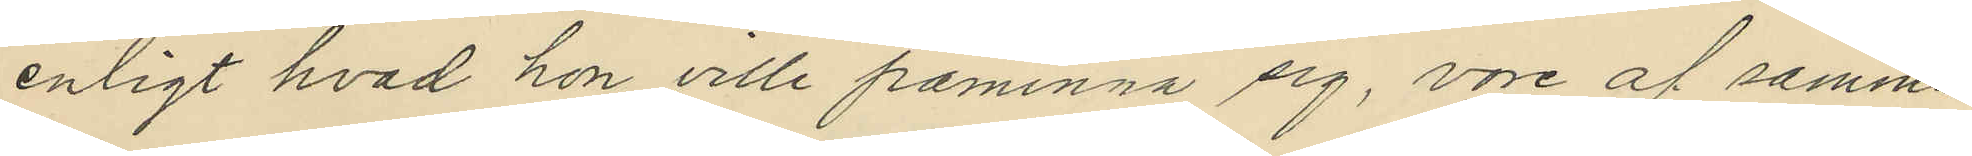enligt hvad hon ville påminna sig, vore af samma
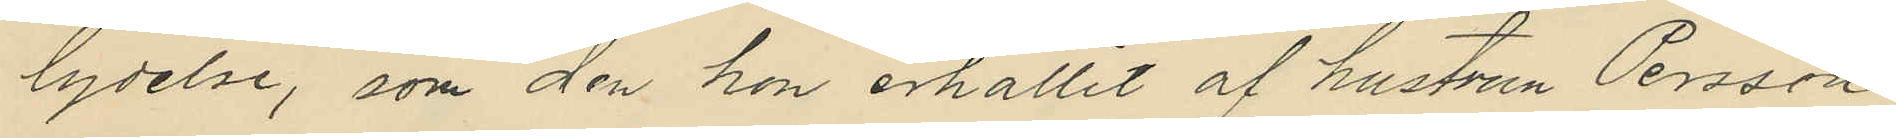lydelse, som den hon erhållit af hustrun Persson
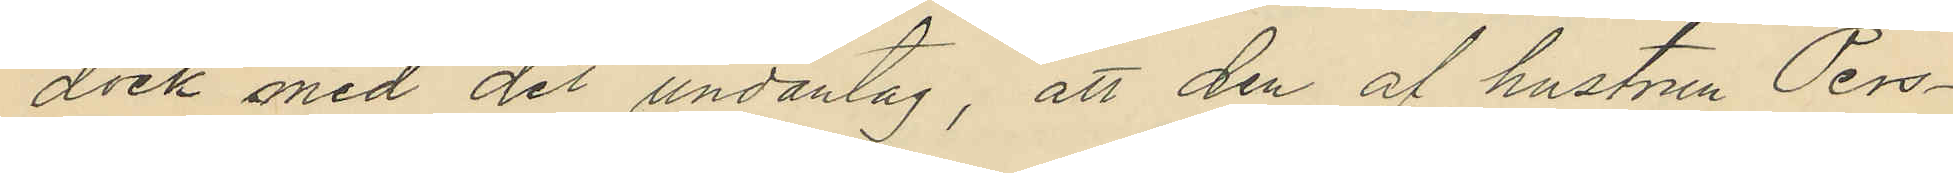dock med det undantag, att den af hustrun Pers¬
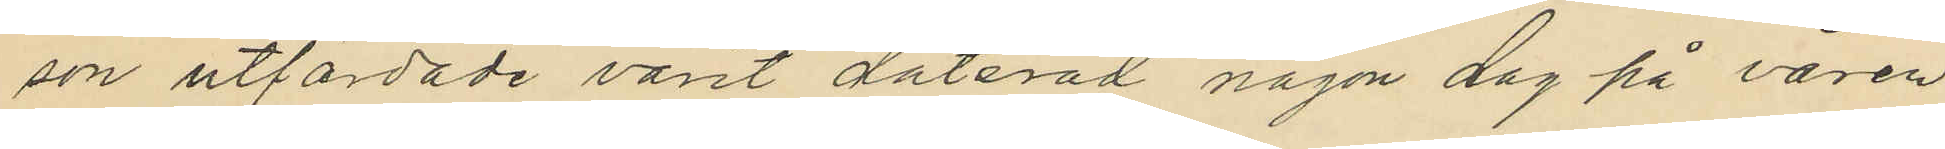son utfärdade varit daterad någon dag på våren
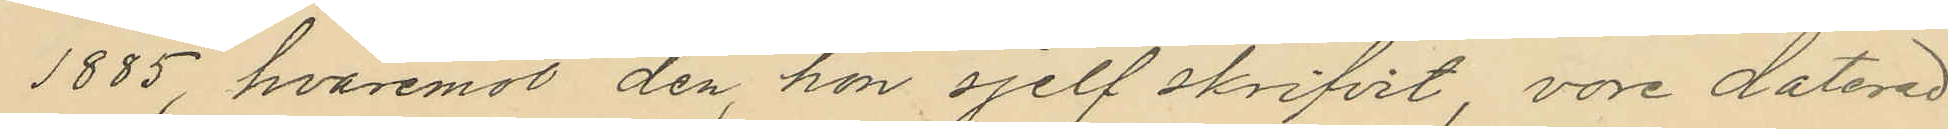1885, hvaremot den, hon sjelf skrifvit vore daterad
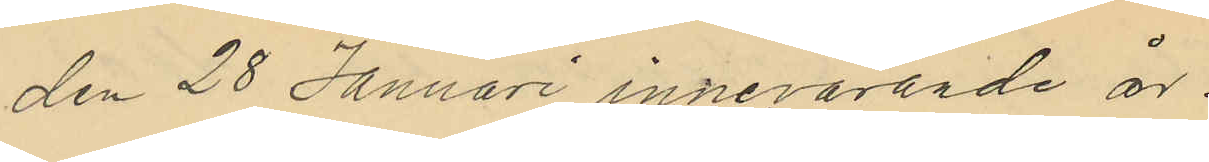den 28 Januari innevarande år.
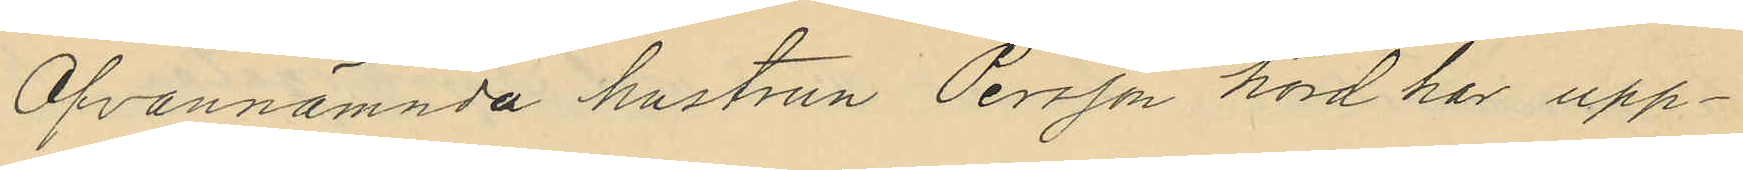Ofvannämnda hustrun Persson hörd har upp¬
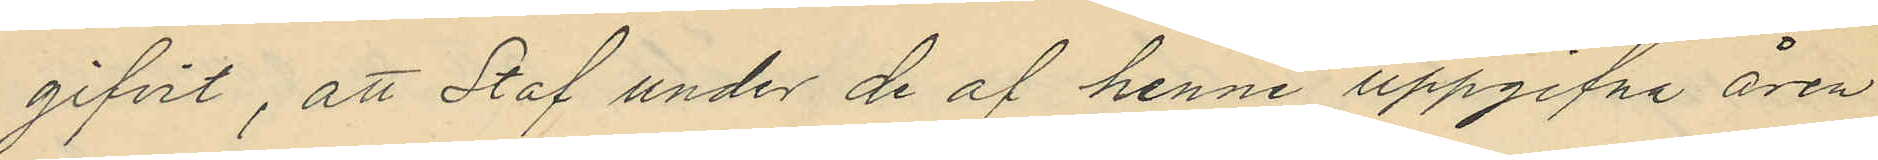gifvit, att Staf under de af henne uppgifna åren
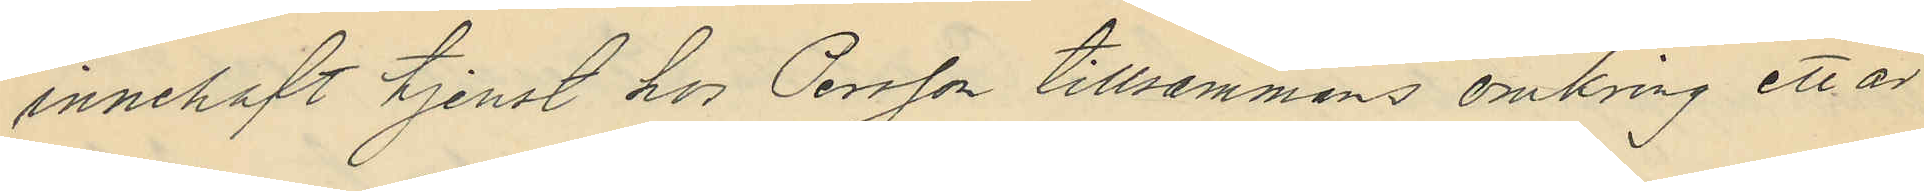innehaft tjenst hos Persson tillsammans omkring ett år
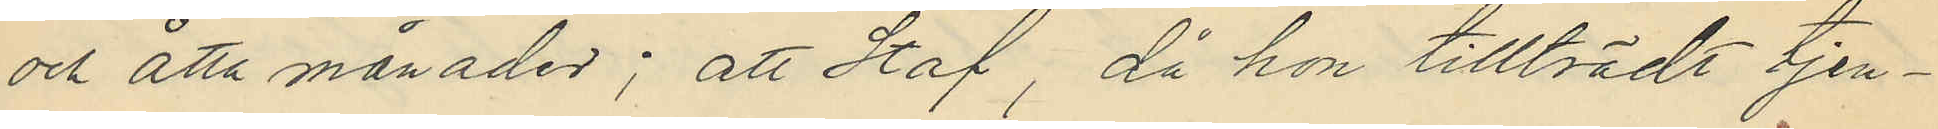och åtta månader; att Staf, då hon tillträdt tjen¬
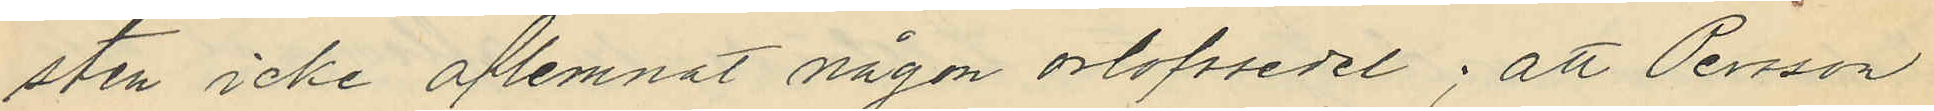sten icke aflemnat någon orlofssedel; att Persson
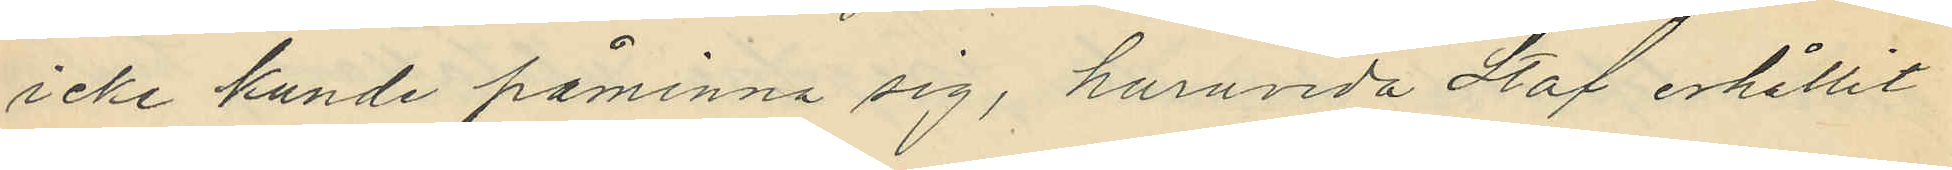icke kunde påminna sig, huruvida Staf erhållit
